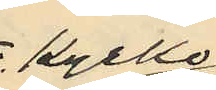o kyrko¬
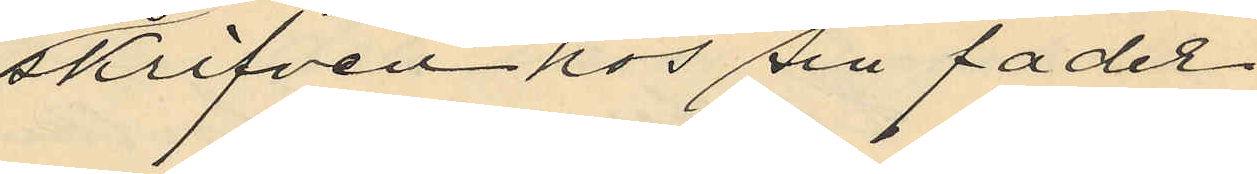skrifven hos sin fader
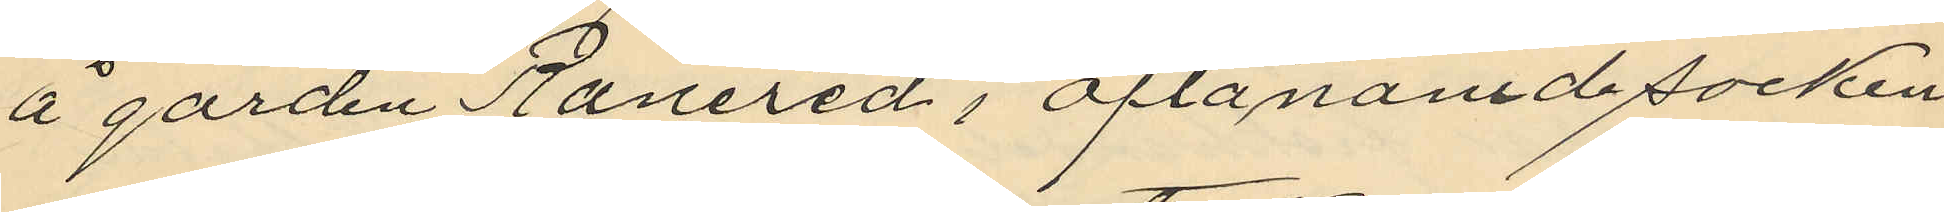å gården Ranered i oftanämde socken
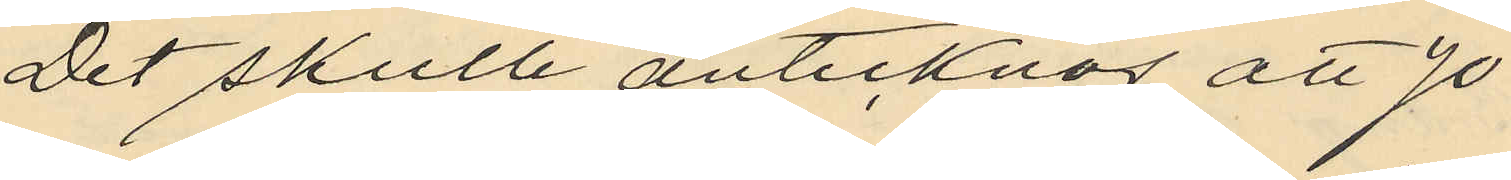Det skulle antecknas att Jo¬
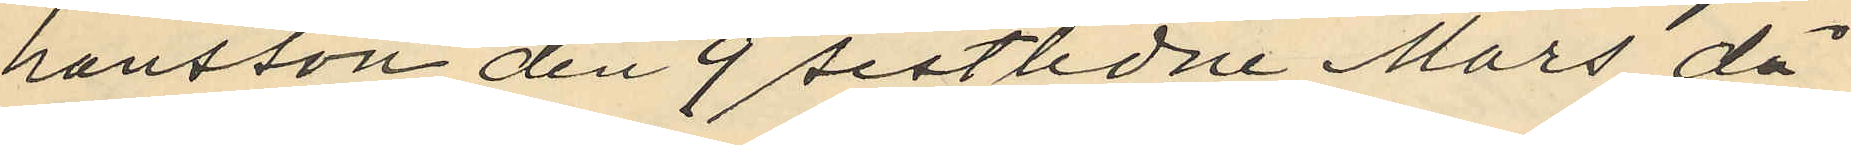hansson den 9 sistlidne Mars då
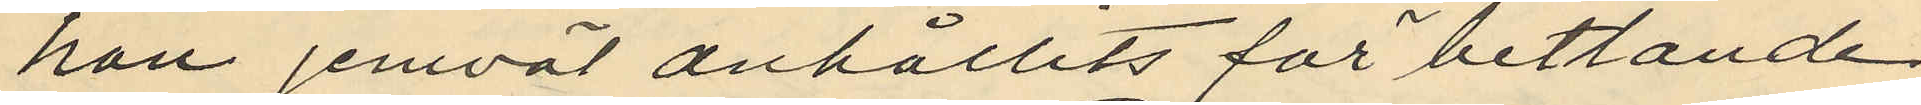han jemväl anhållits för betlande
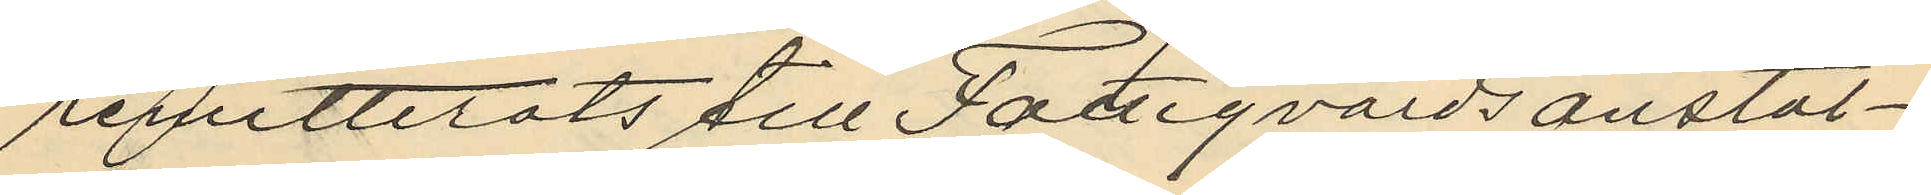remitterats till Fattigvårdsanstal¬
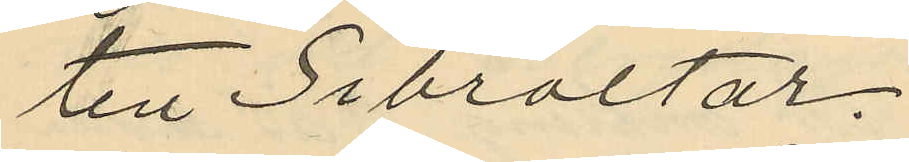ten Gibraltar.
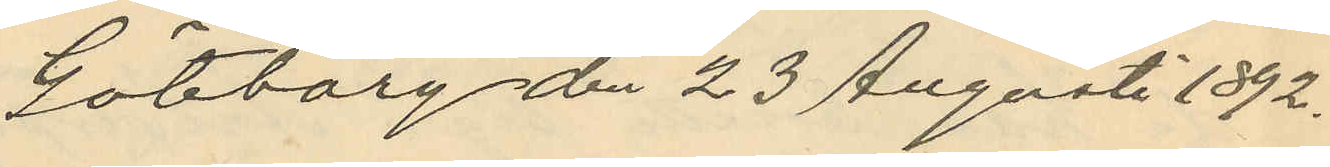Göteborg den 23 Augusti 1892.
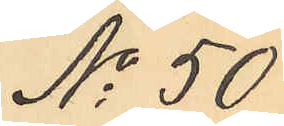No 50
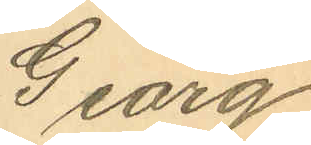Georg
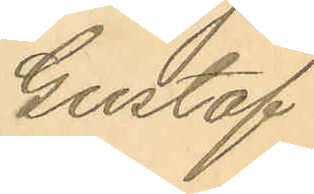Gustaf
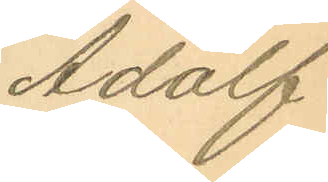Adolf
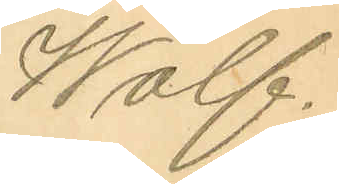Wolf.
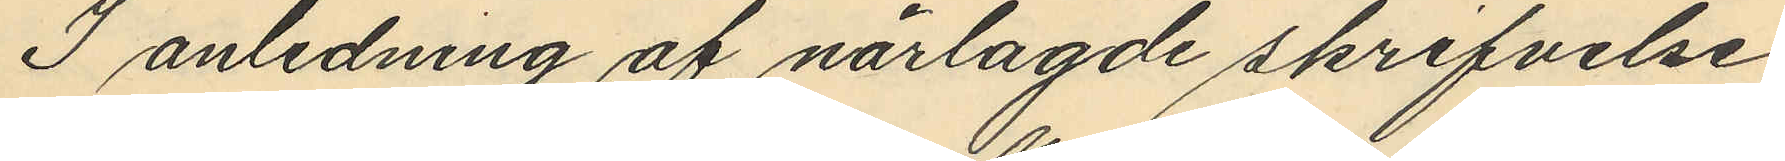I anledning af närlagde skrifvelse
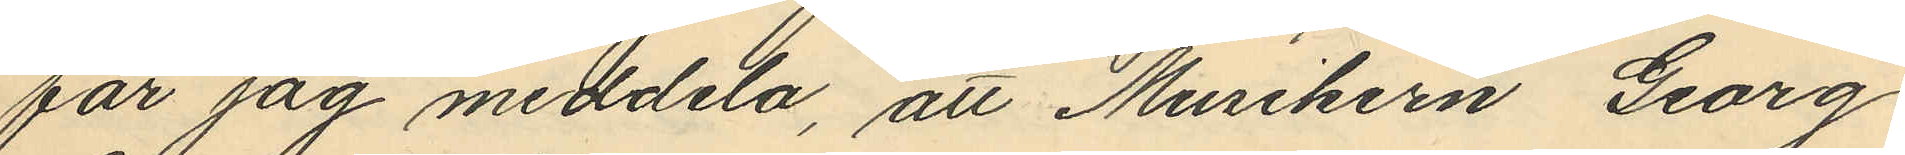får jag meddela, att Musikern Georg
